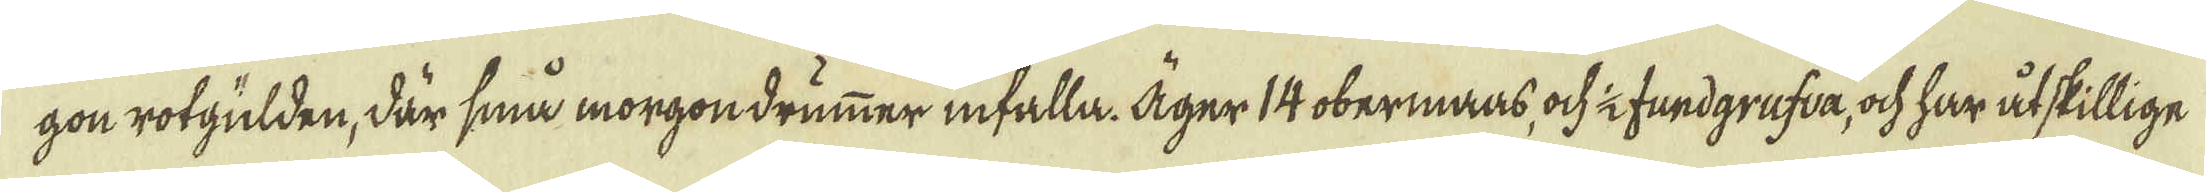gon rotgülden, där små morgondrümmer infalla. Äger 14 obermaas, ock 1/2 fundgrufva, ock har åtskillige
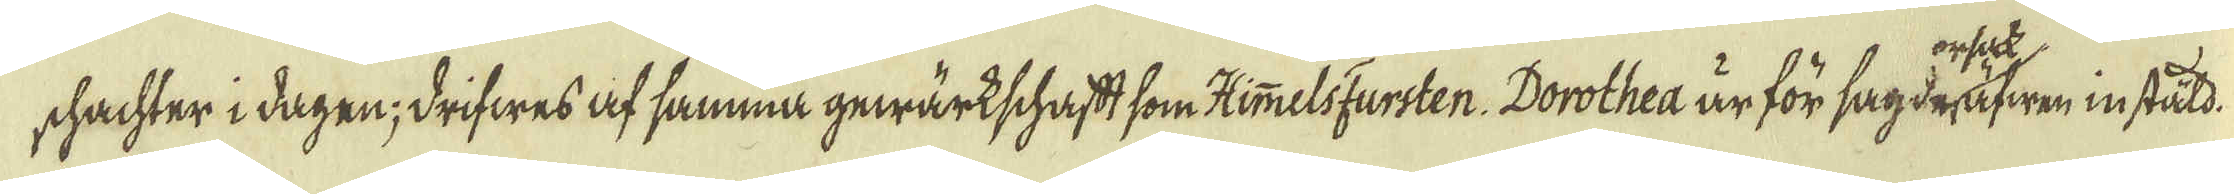shachter i dagen; drifwes af samma gewärkschaft som HimmelsFursten. Dorothea är för sagda äfwen instäld.
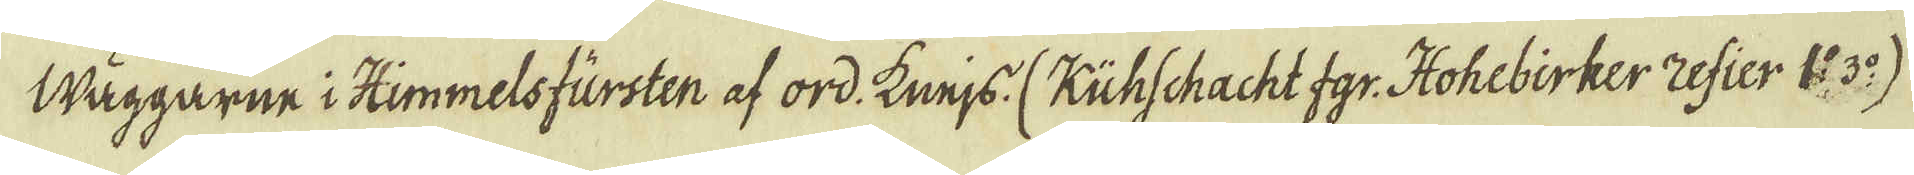Wäggarne i Himmelsfürsten af ord: Kneijs. (Kühschacht fgr. Hohebirker Zefier 1: 3:o)
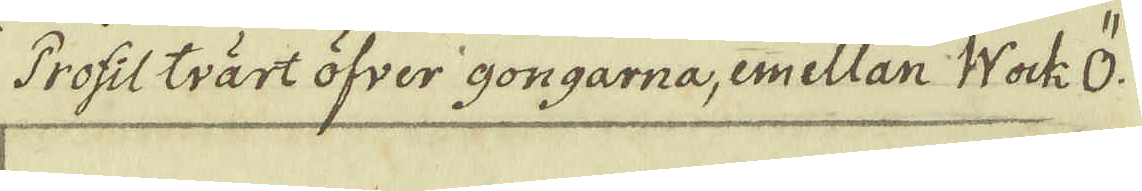Profilträrt öfver gongarna, emellan Wock Ö.
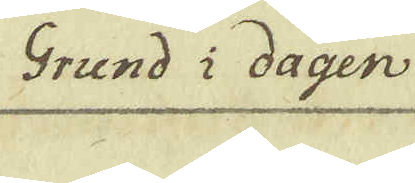Grund i dagen
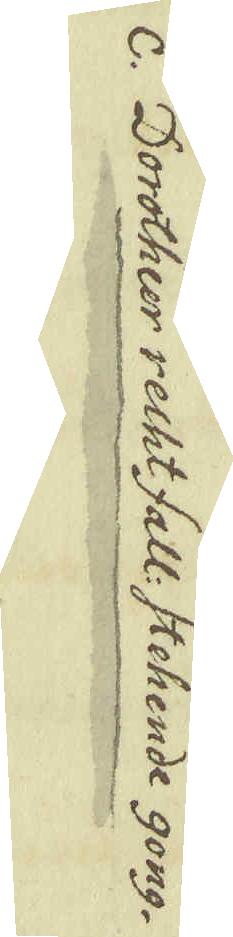c. Doroher recht Fall: Stehende gong.
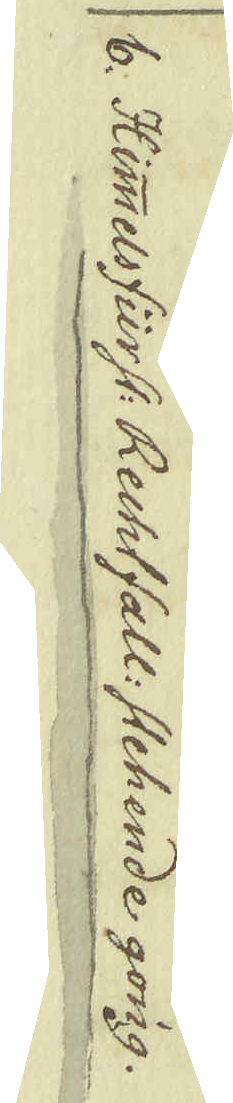b. Himmelsfurst: Rechtfall: Atehemde gong.
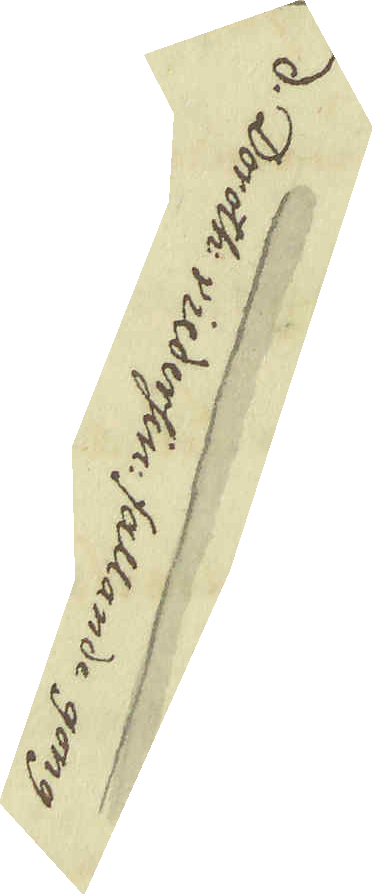d. Doroth: viedersin: fallande gong
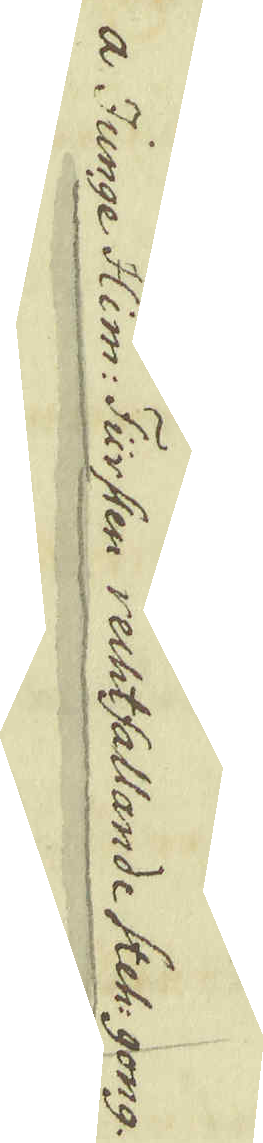a Junge Him: Fursten rechtfallande Steh: gong.
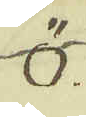ö.
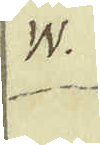w.
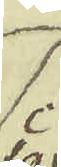c.
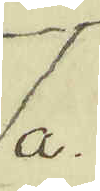a.
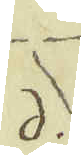d.
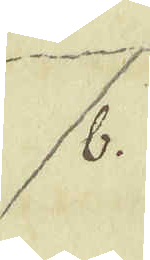b.
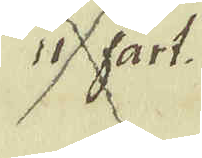ii fart.
